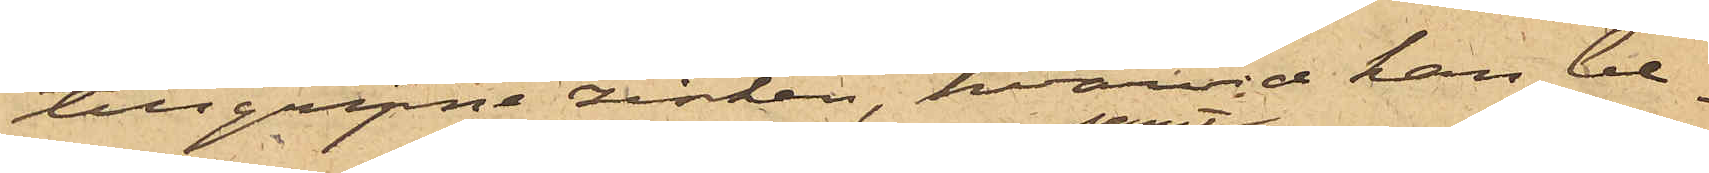tillgripne zinken, hvarvid han be¬
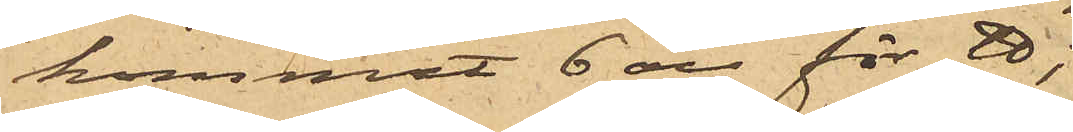kommit 6 öre för ℔;
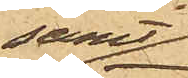samt
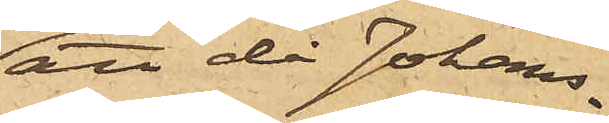att då Johans¬
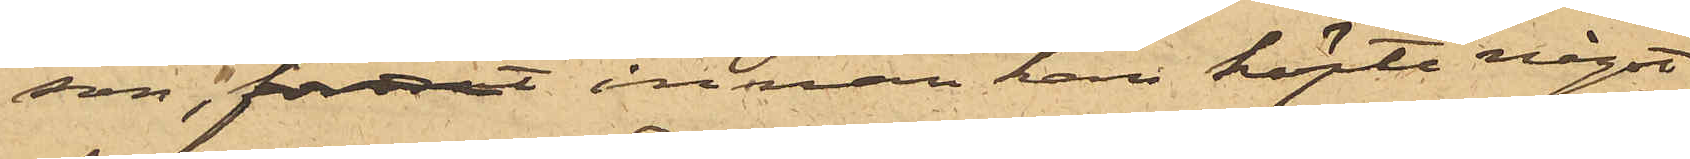son, fordrat innan han köpte något,
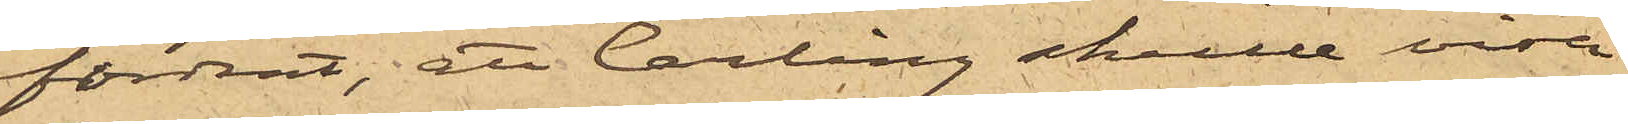fordrat, att Carling skulle visa
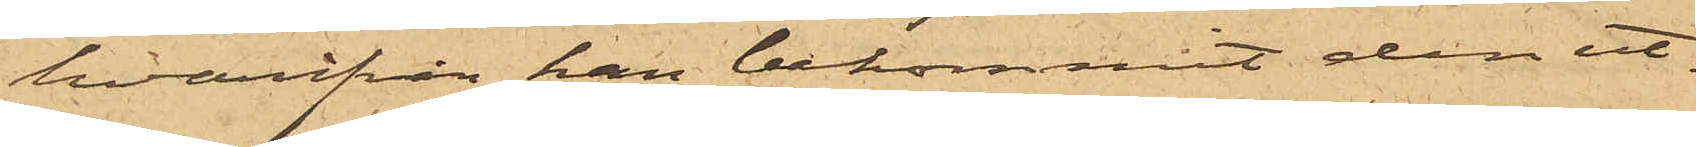hvarifrån han bekommit den ut¬
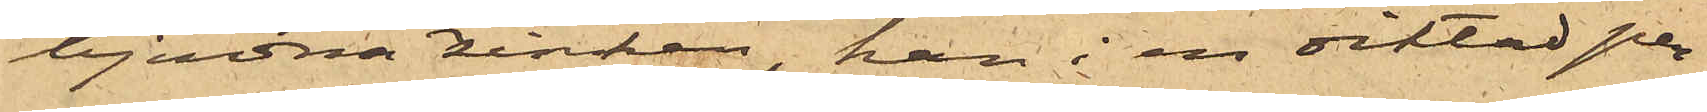bjudna zinken, han i en diktad per¬
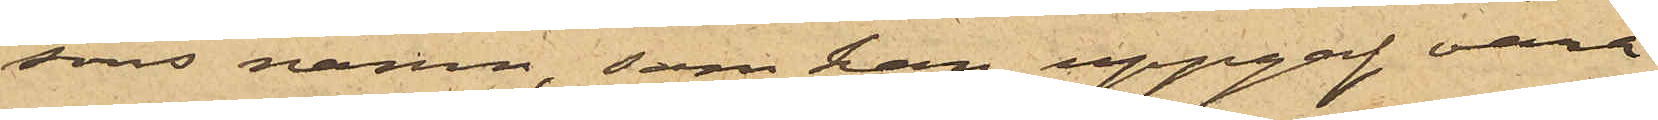sons namn, som han uppgaf vara
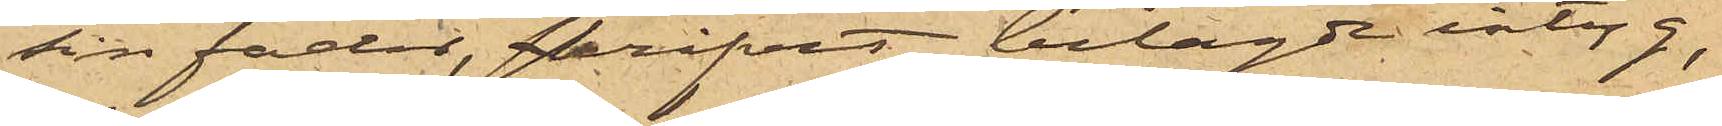sin fader, skrivit bilagde intyg,
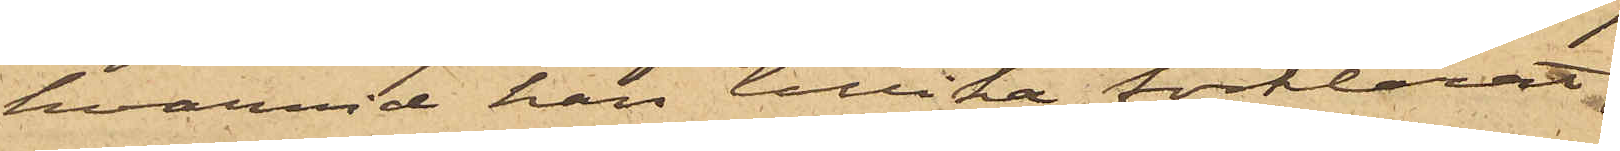hvarvid han tillika förklarat,
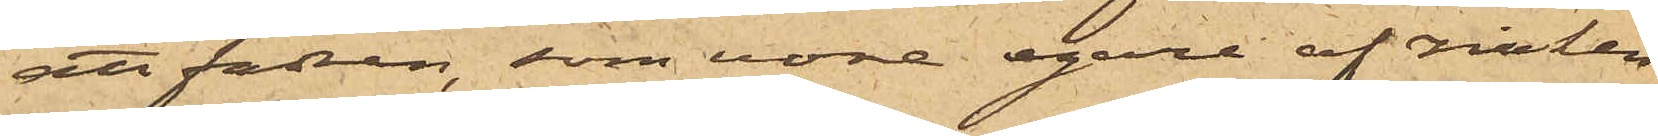att fadren, som vore egare af zinken
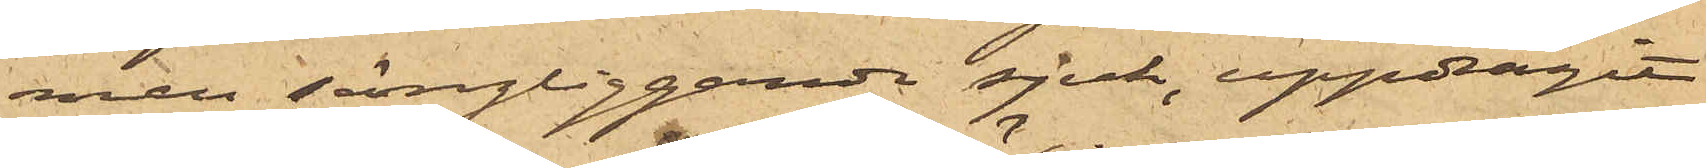men sängliggande sjuk, uppdragit
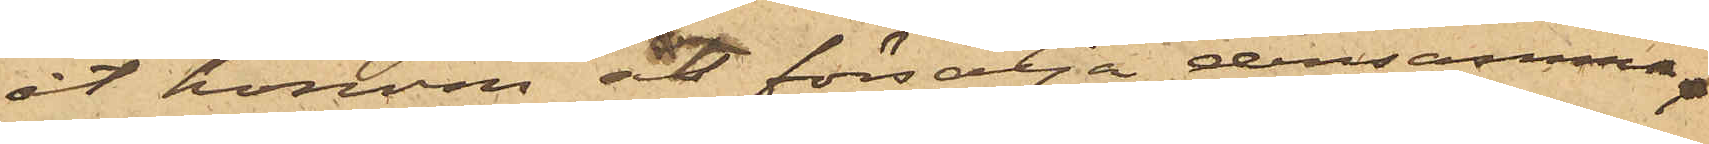åt honom åt försälja densamma.
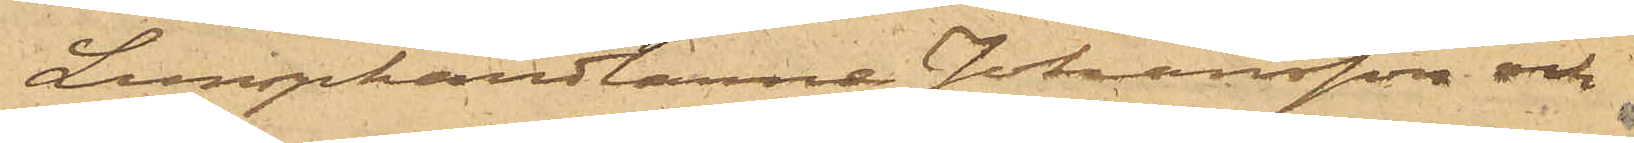Lumphandlarne Johansson och
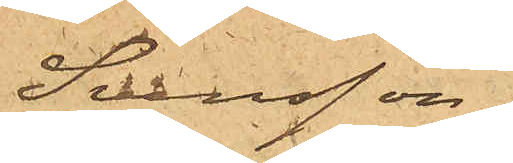Svensson,
